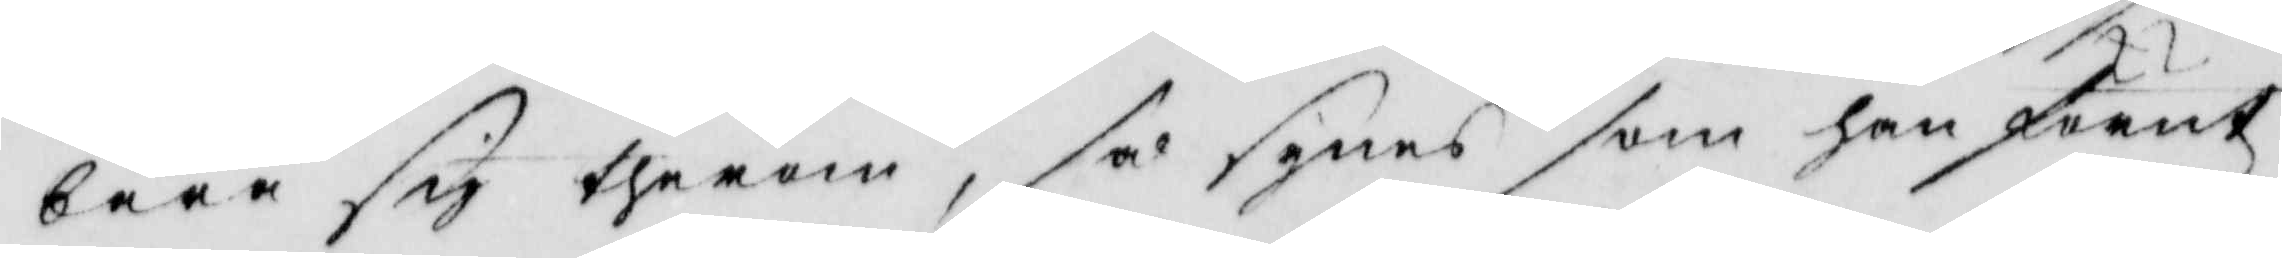bara sig therom, så synes som han förnt
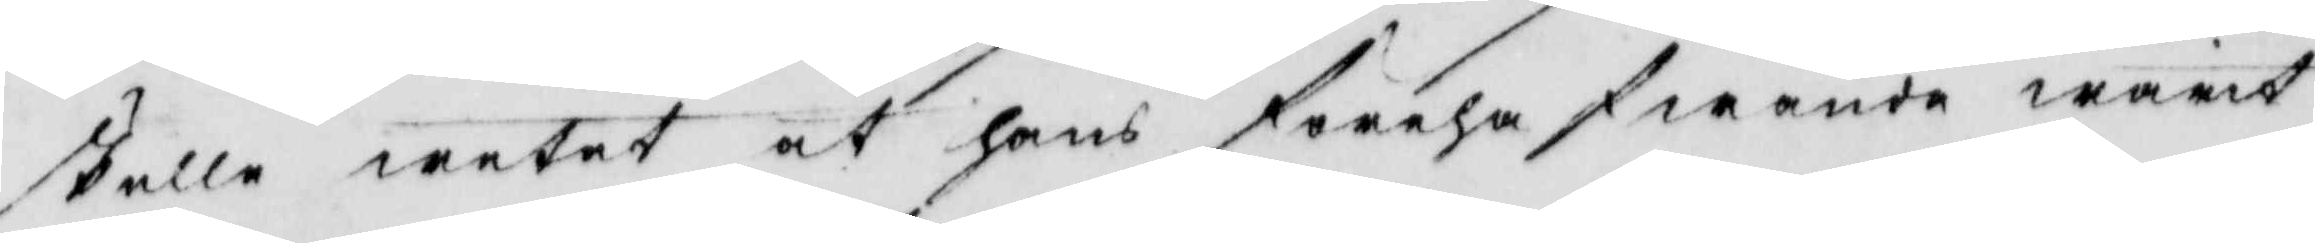ställe wetet at hans förehafwande warit
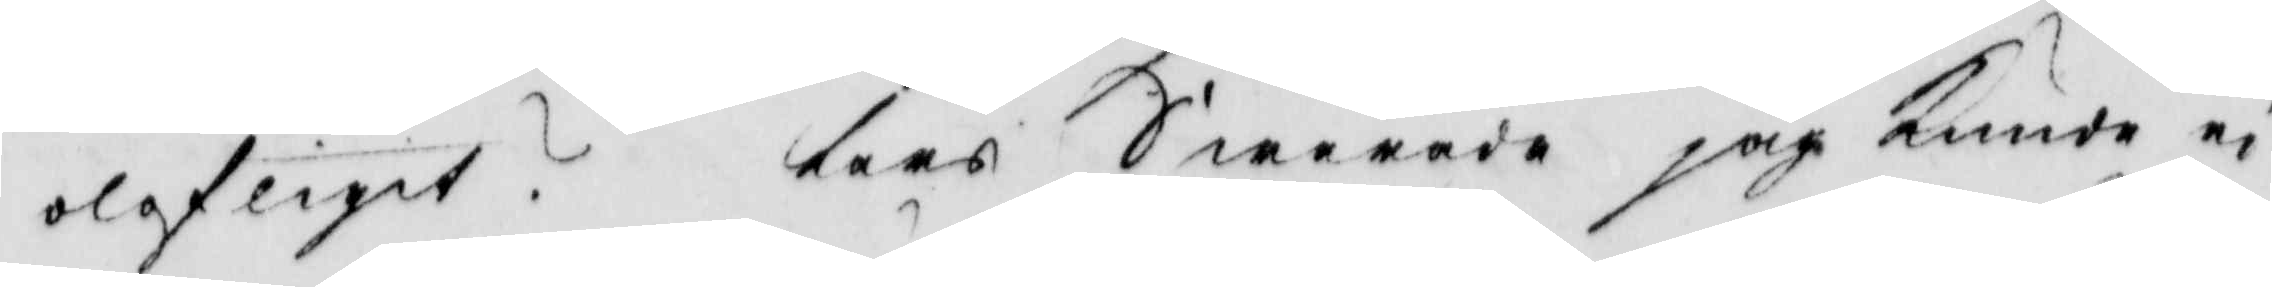olofligit? Lars Swarade jag kunde ei
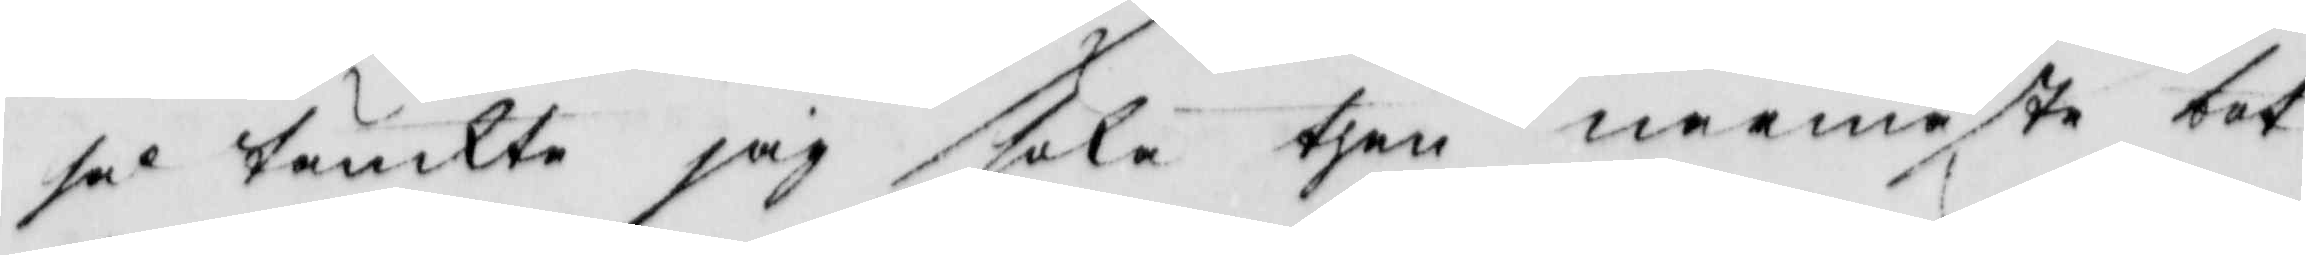sal tänkte jag stala then neemeste tat¬
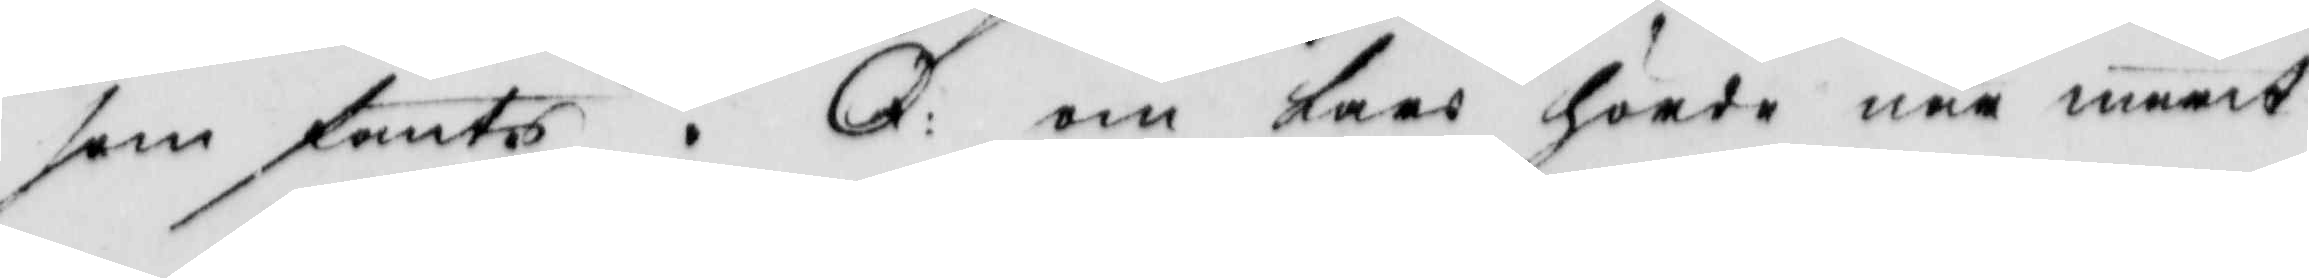som fants. : om karo Hoade när mant
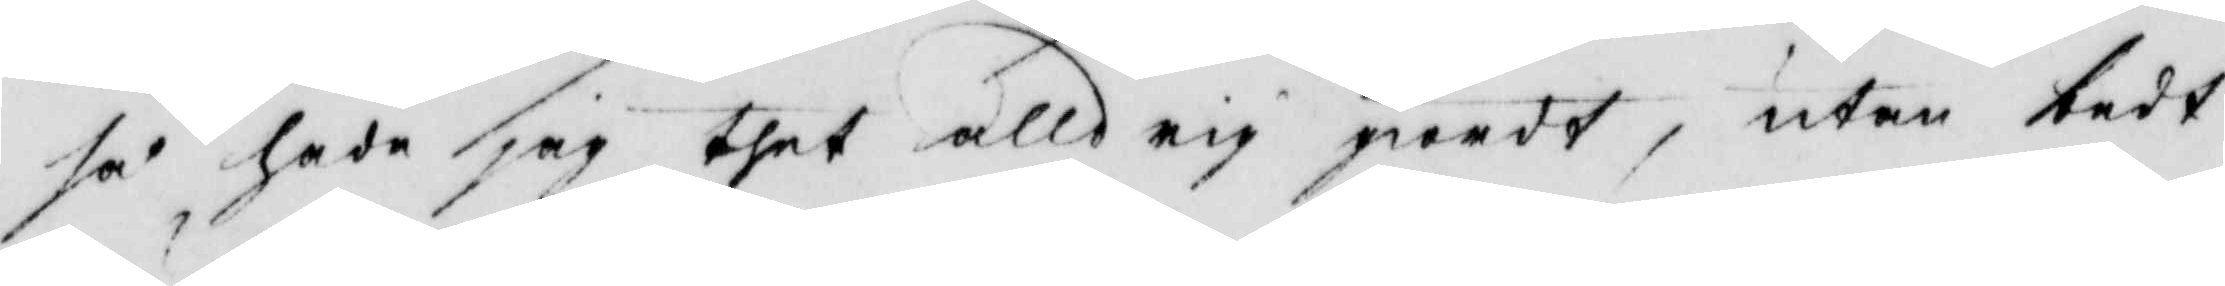så hade jag thet alldrig giordt, utan tedt
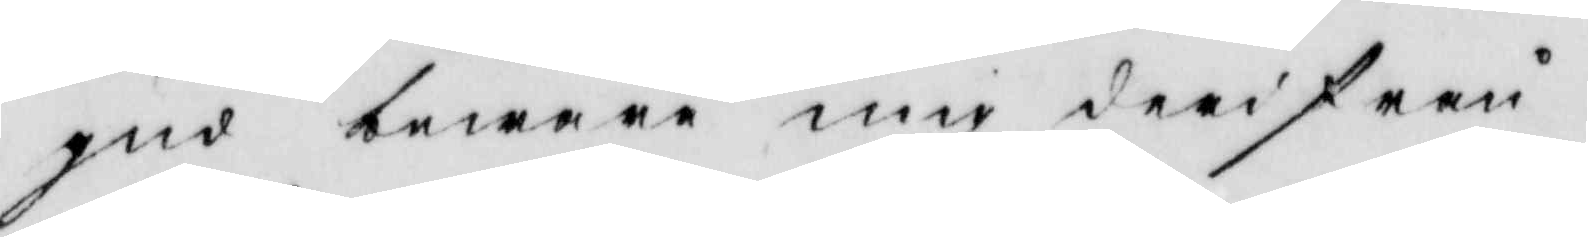gud beware mig derifrån
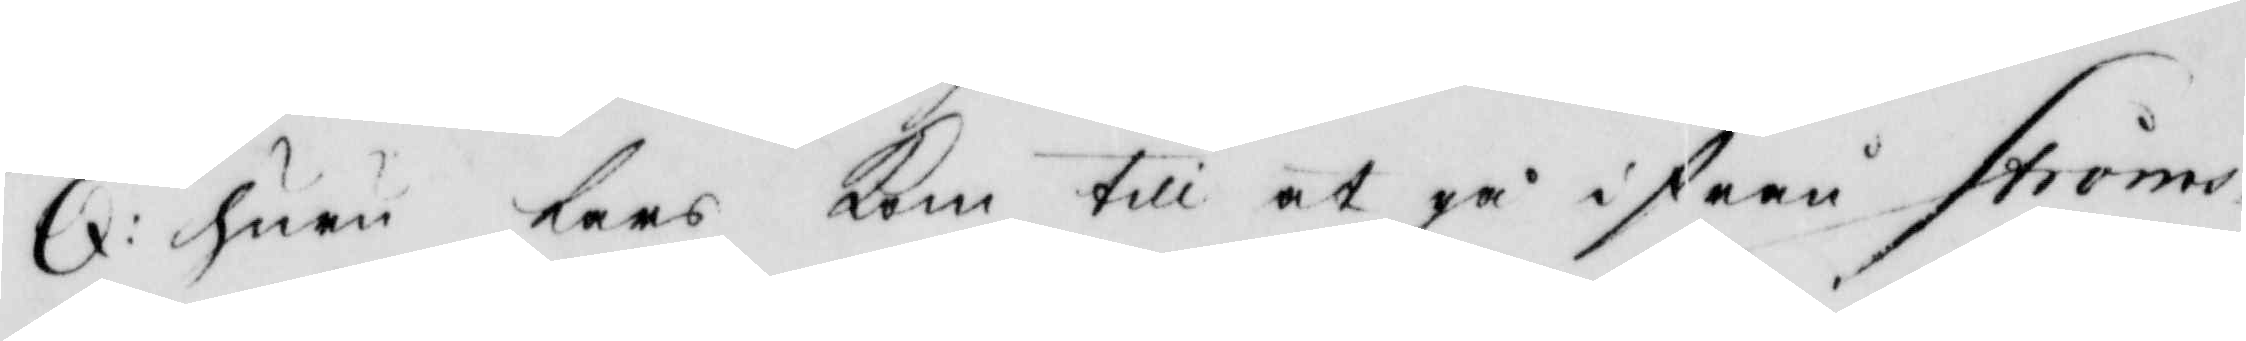6: huru Lars kom till at på istråå strömo¬
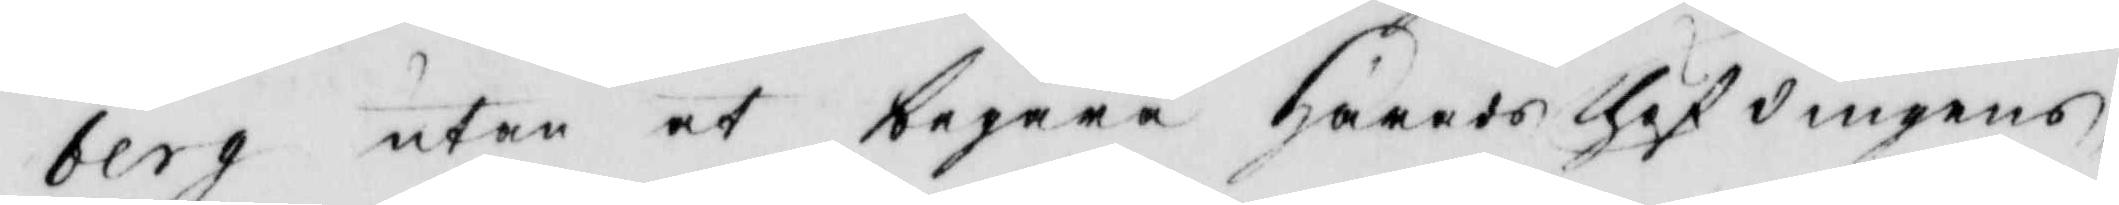berg utan at begära Härade thäfdingene,
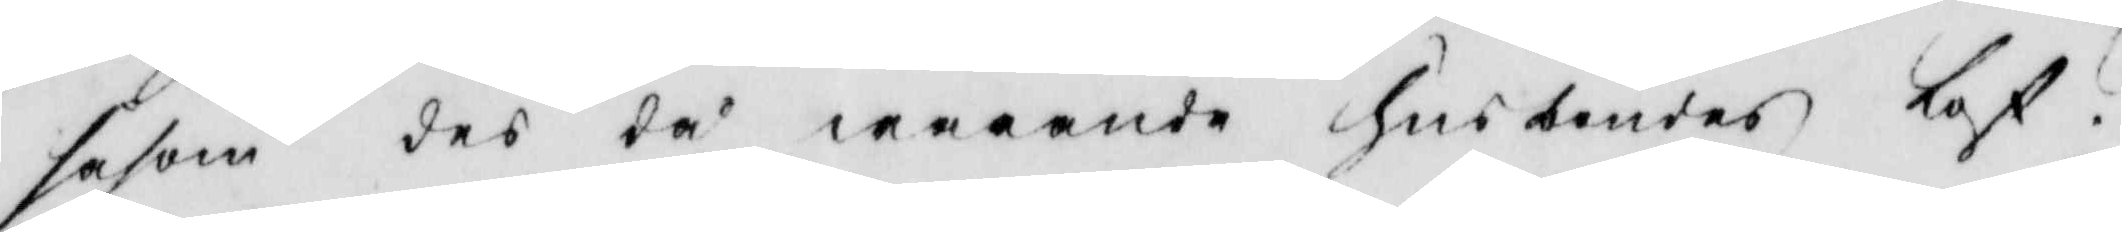såsom des tå werande hustendes Låf¬
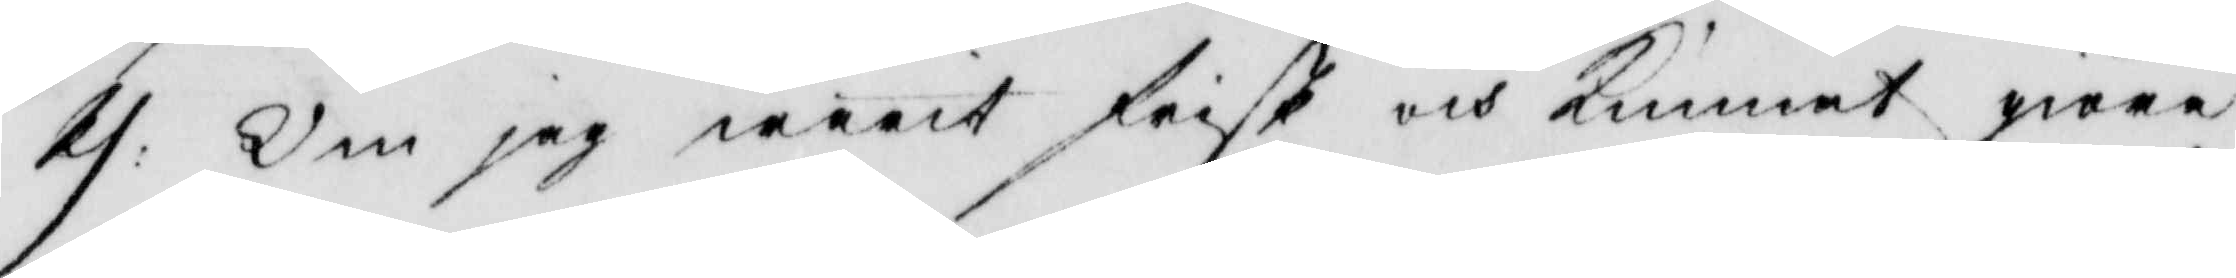11. Om jag warit frist och Kunnat göra
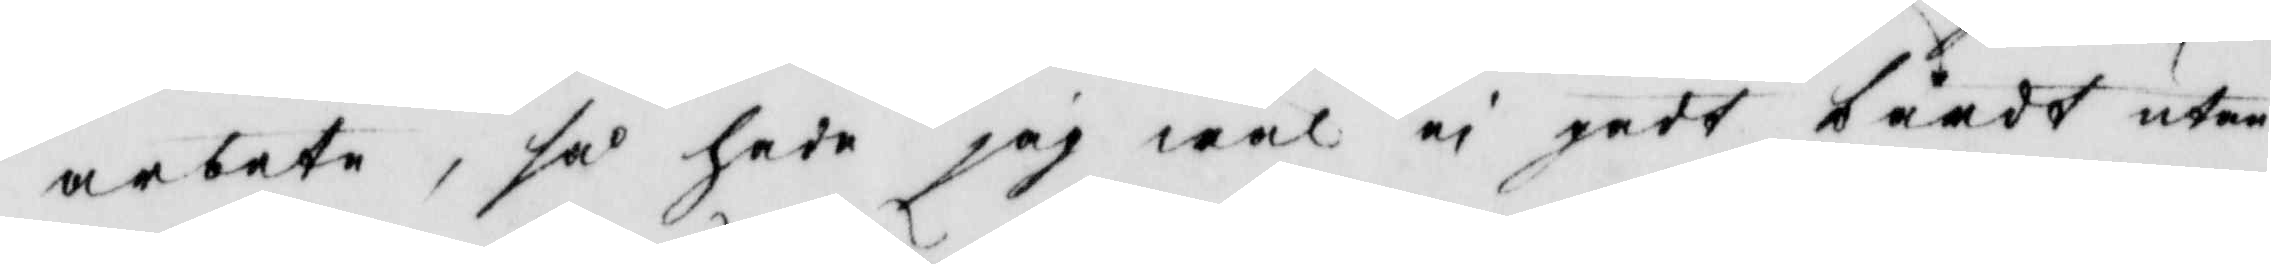arbete, så hade jag wäl ei gådt båådt uten
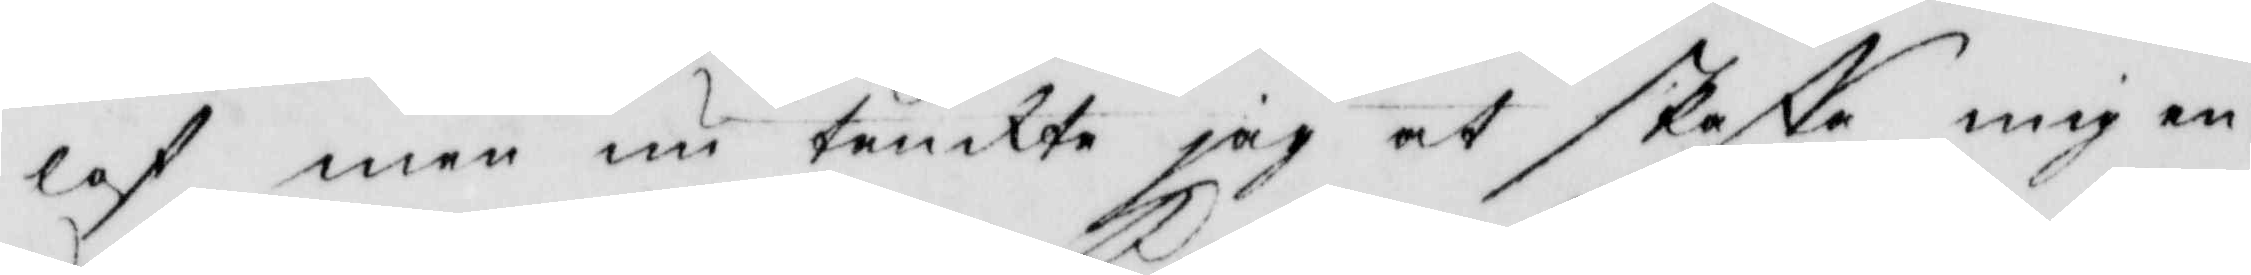laf men nu tenckte jag at skaffa mig en
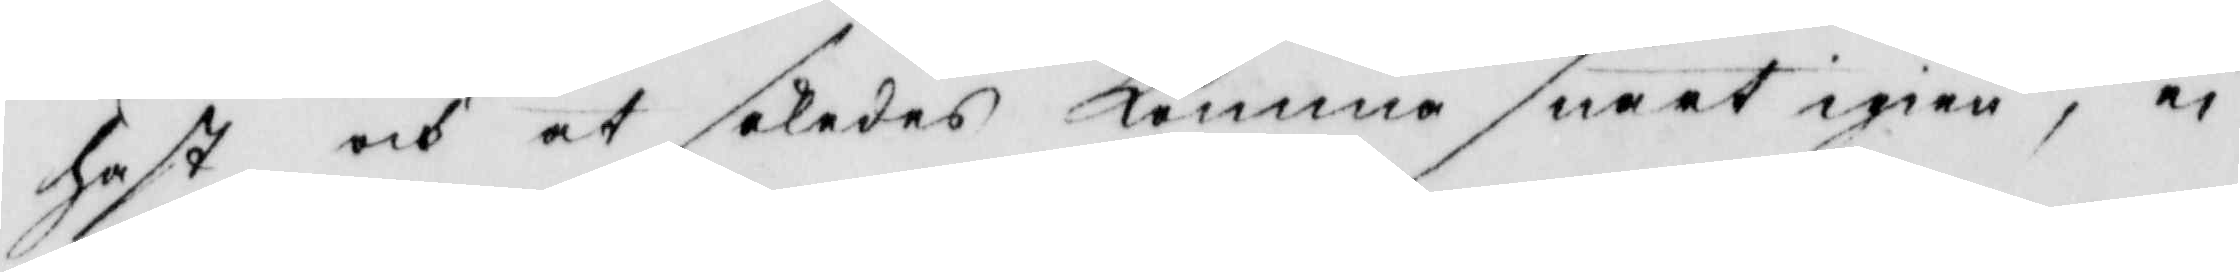hast och at således kommo snart igien, en
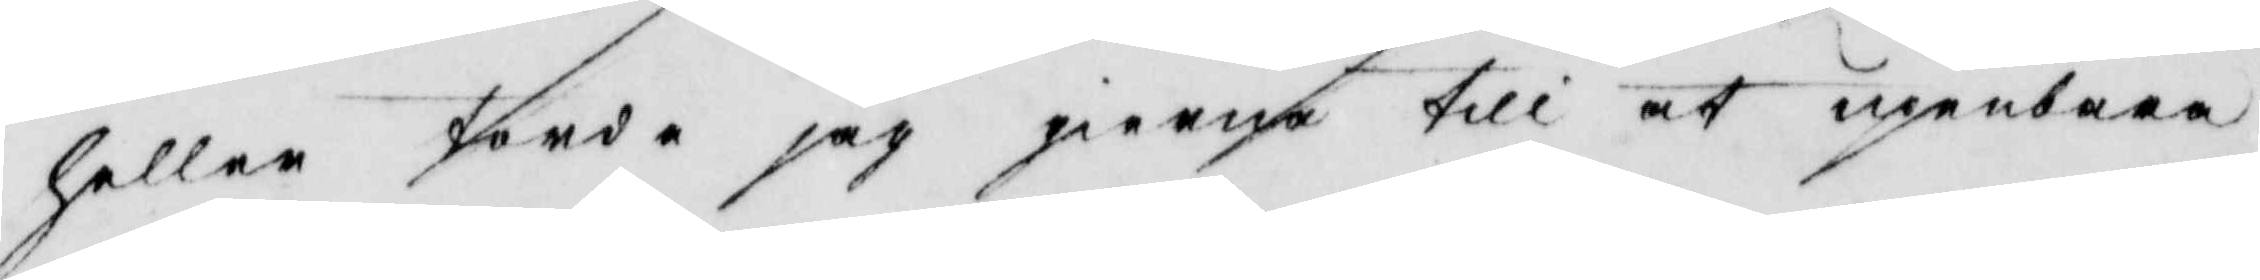hellen Jorde jag gieena till at upenbara
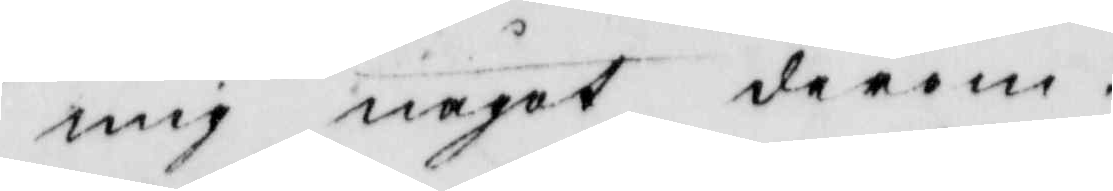mig något derom.
